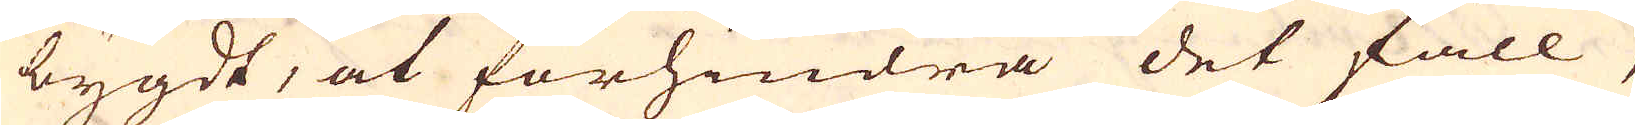bygdt, at förhindra det fall,
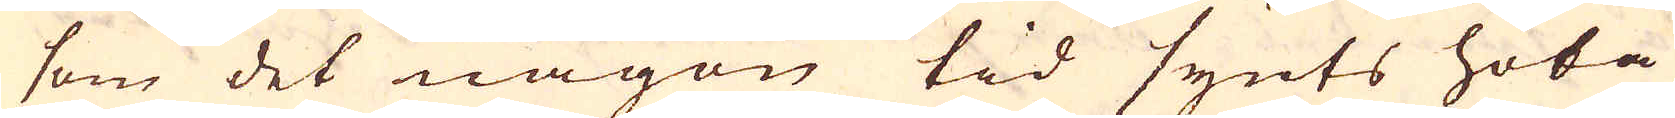som det någon tid synts hota
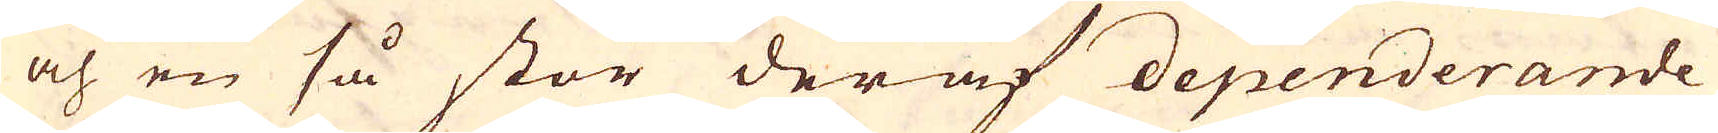och en så stor deraf dependerande
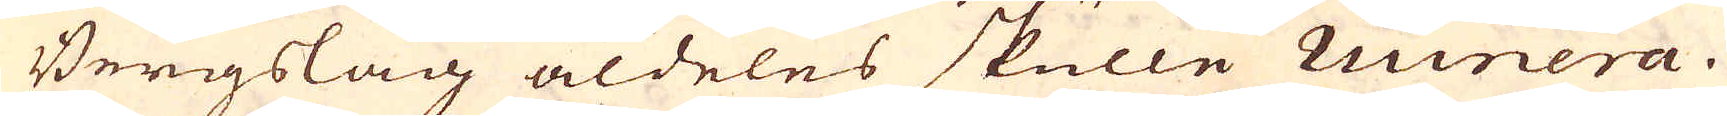Bergslag aldeles skulle ruinera.
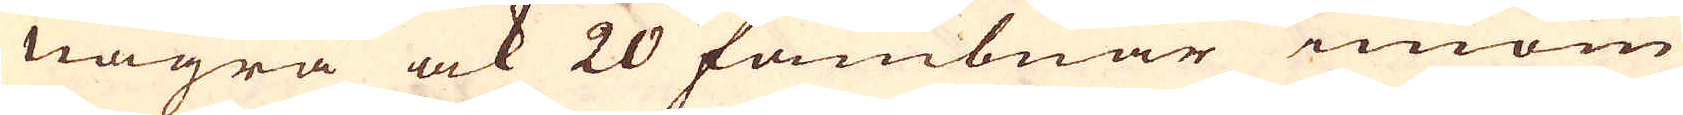Några ock 20 fambnar innom
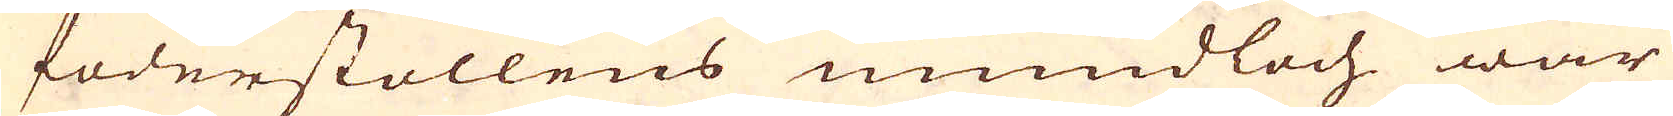foderstollens mundloch war
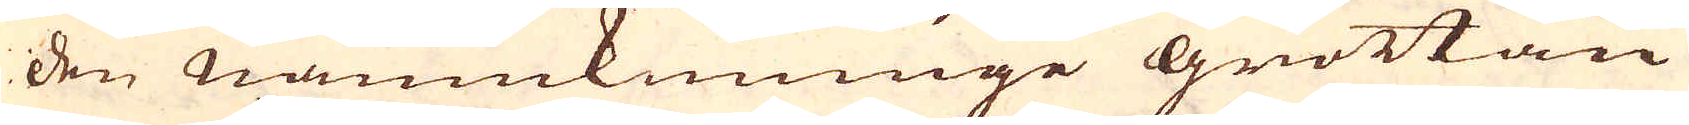den namnkunnige grottan
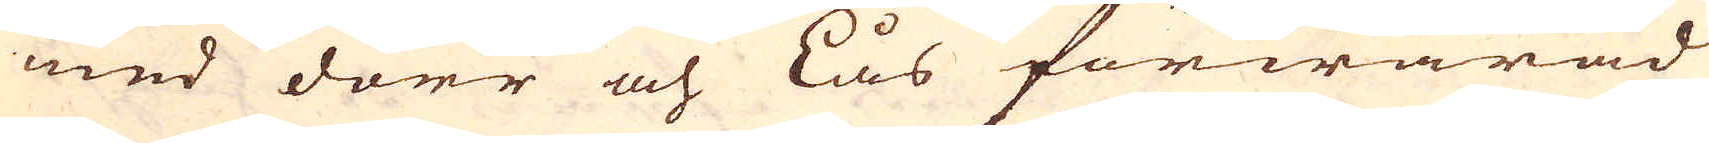med dörr och lås förwarad
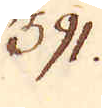391.
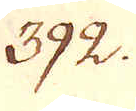392.
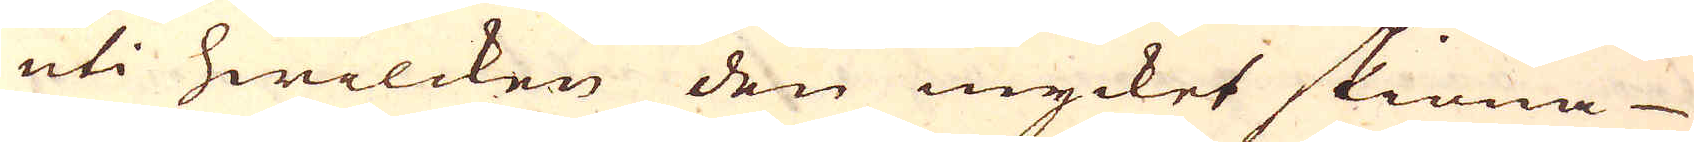uti hwilcken den mycket skiöna
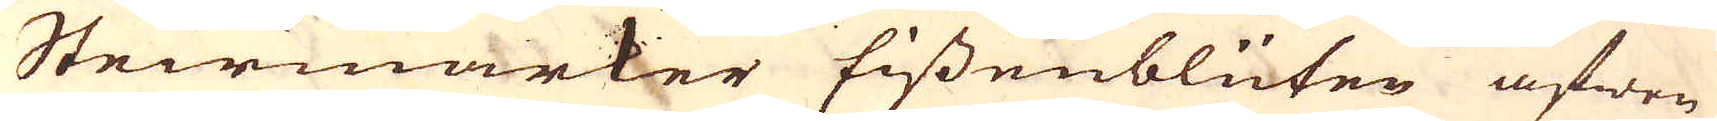Steirmarker Eissenblüten äfwen
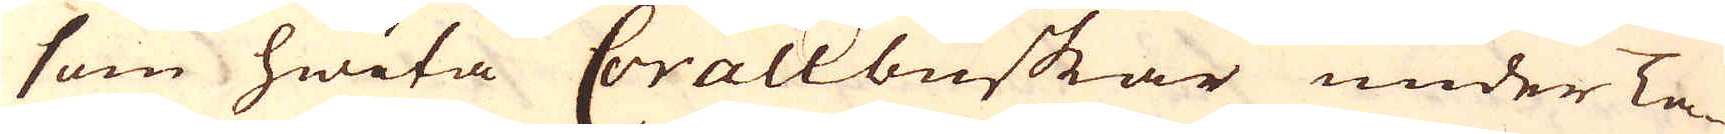som hwita Corallbuskar under Ta-
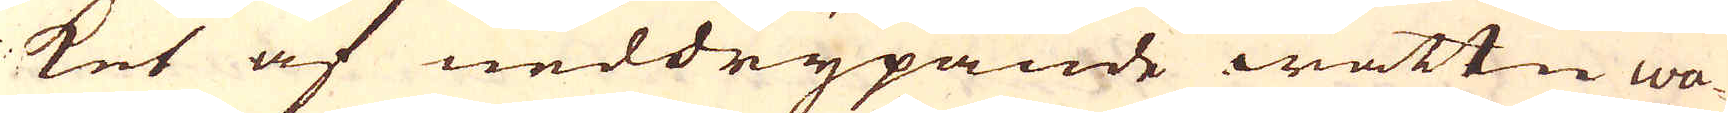ket af neddrypande wattn wa-
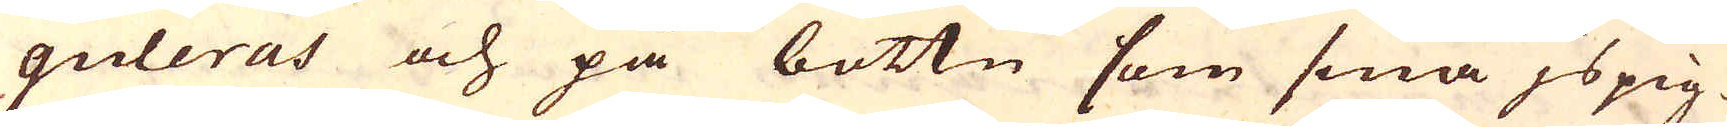guleras och på bottn som små jspig-
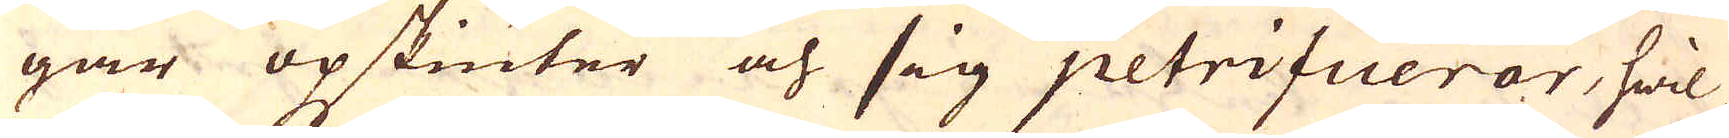gar opskiuter och sig petrifierar, hwil-
